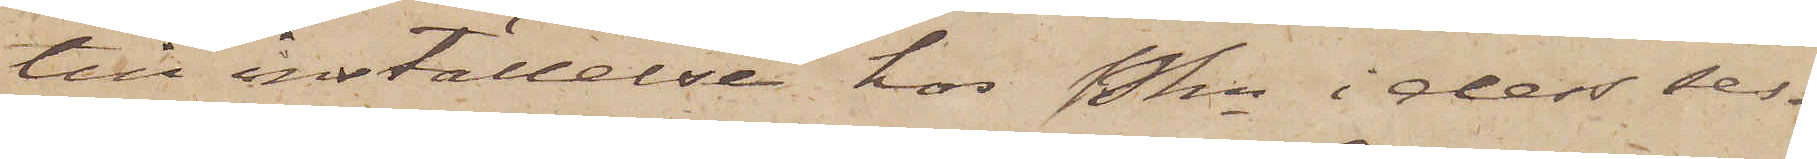till inställelse hos Pkn i dess ses¬
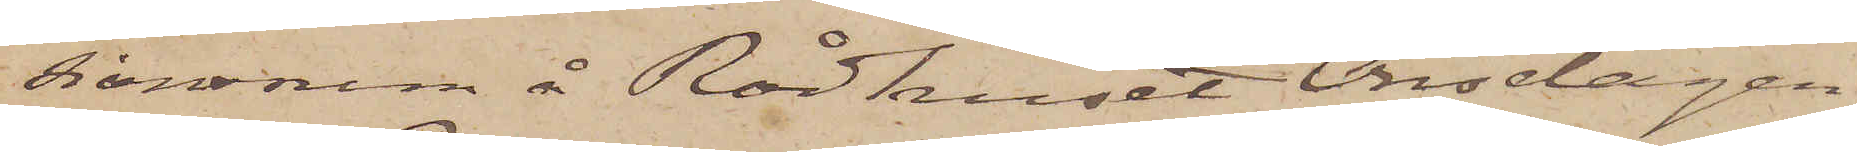sionsrum å Rådhuset Onsdagen
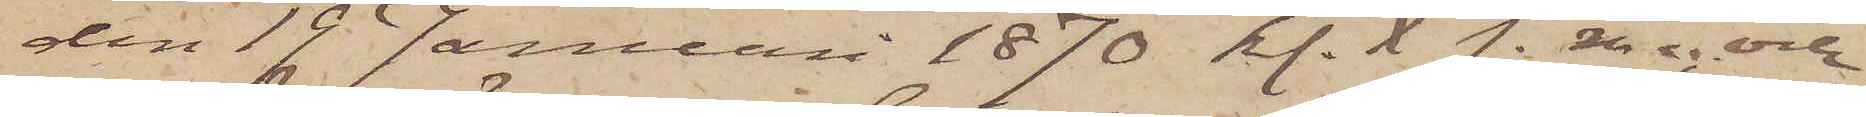den 19 Januari 1870 kl. X f. m.; och
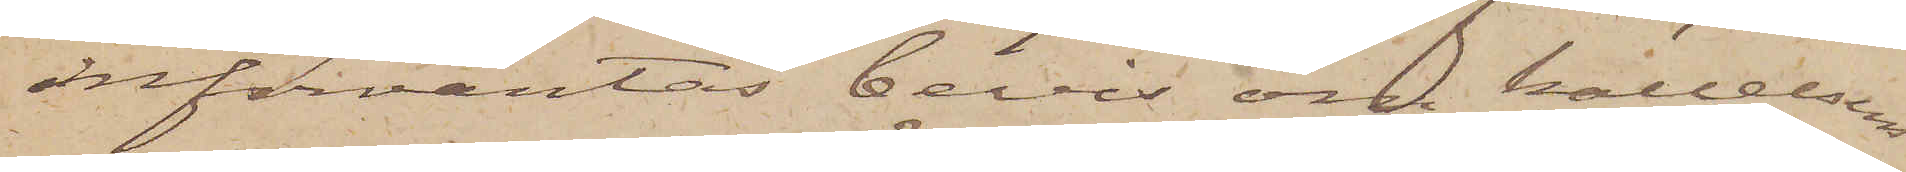införväntas bevis om kallelsens
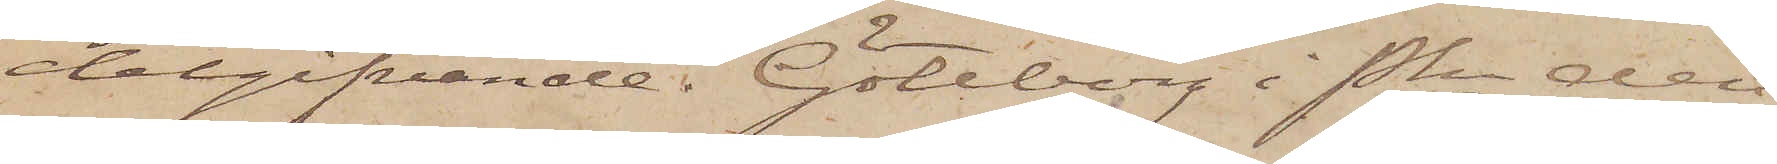delgifvande. Göteborg i Pkn den
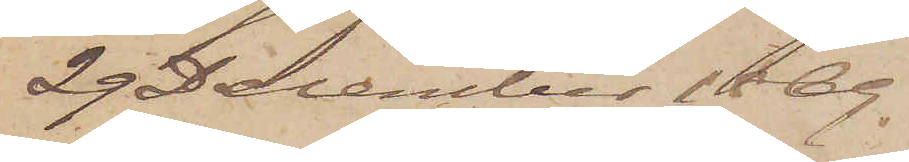29 December 1869.
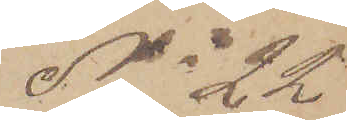No 22
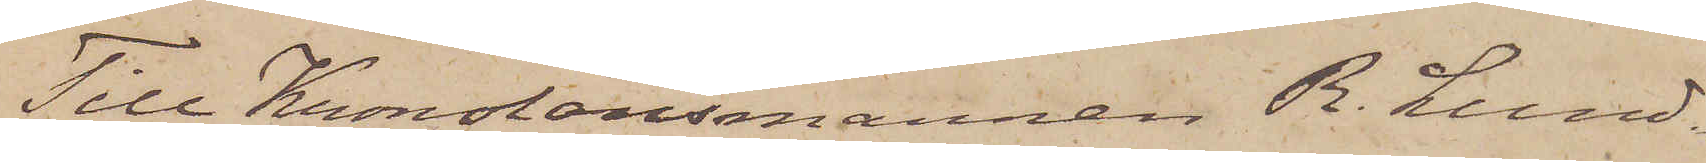Till Kronolänsmannen R. Lund¬
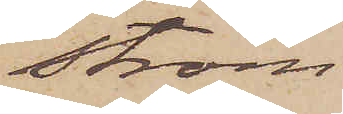ström.
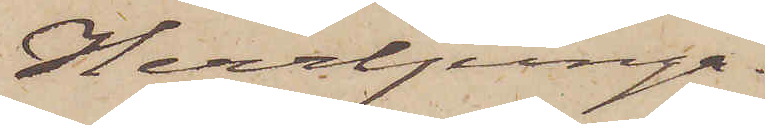Herrljunga.
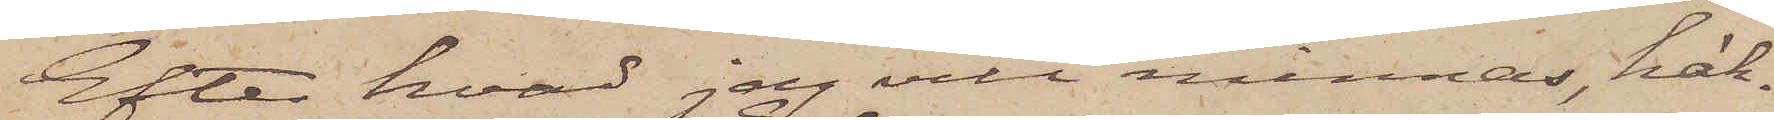Efter hvad jag vill minnas, häk¬
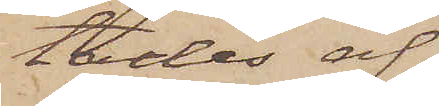tades af
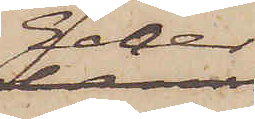Eder
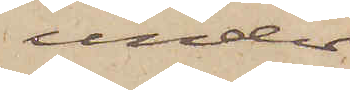under
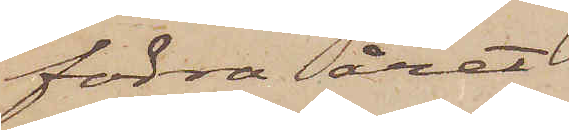förra året
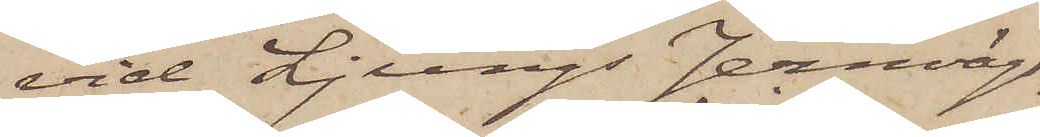vid Ljungs Jernvägs¬
